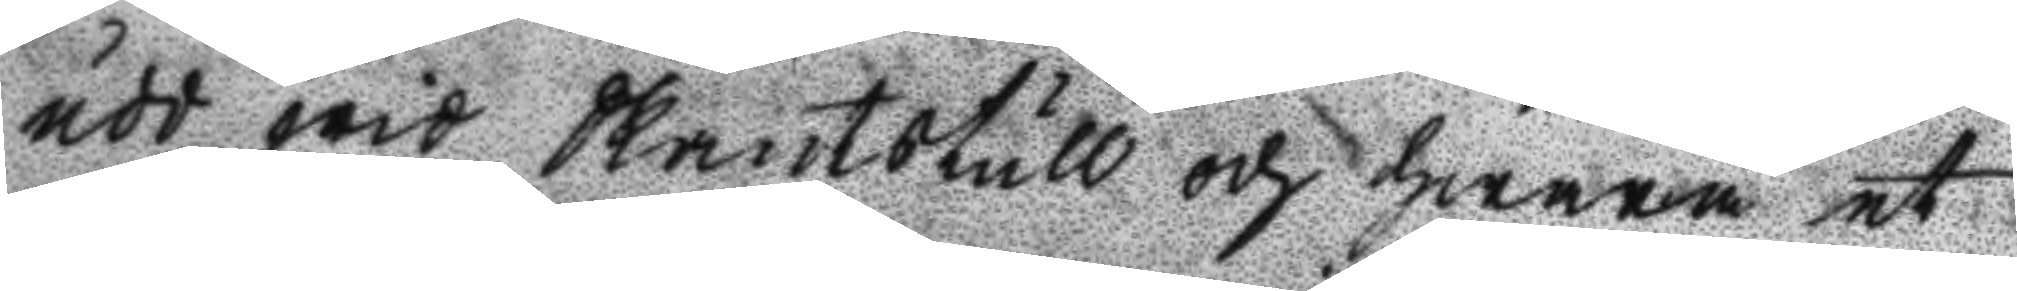udd wid Skantstull och hwarå et
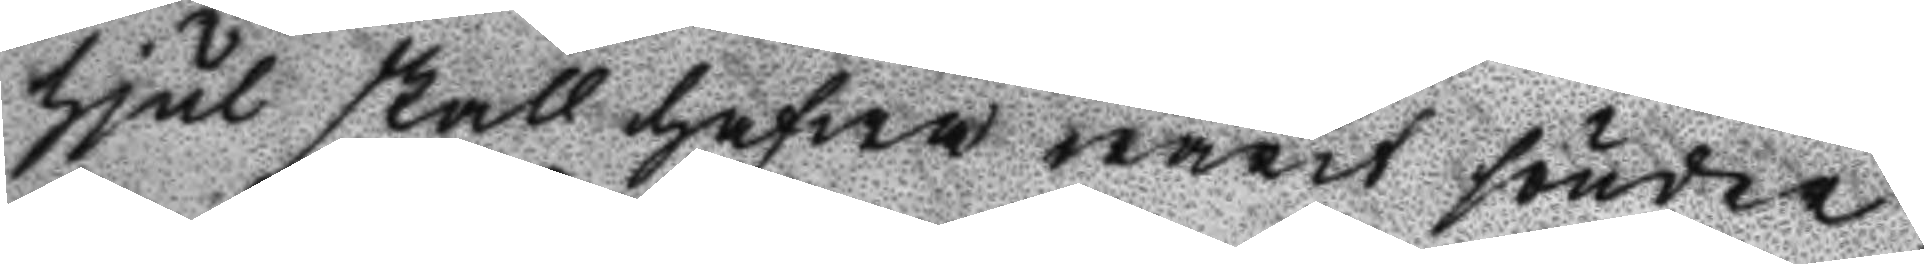hjul skall hafwa warit sönder,
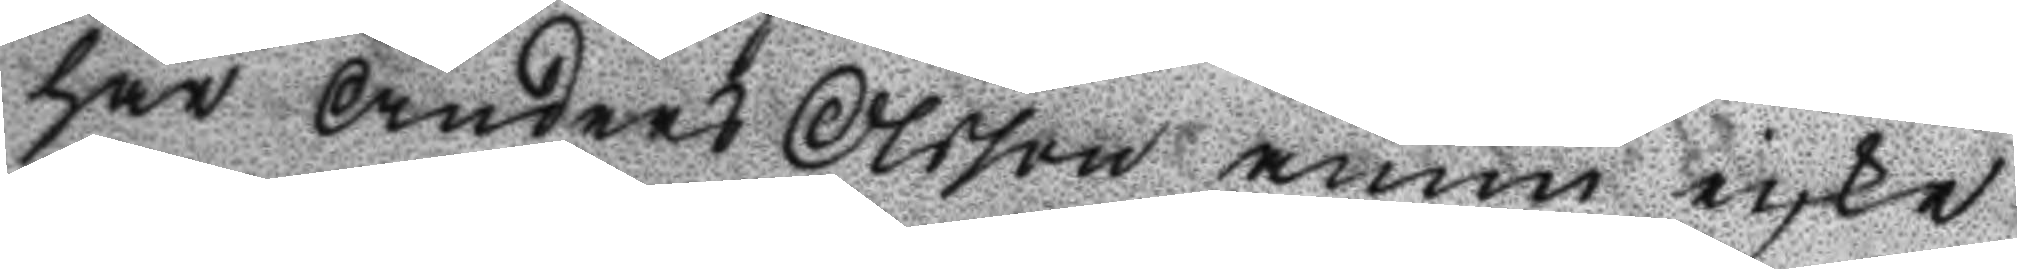har Anders Olsson ännu icke
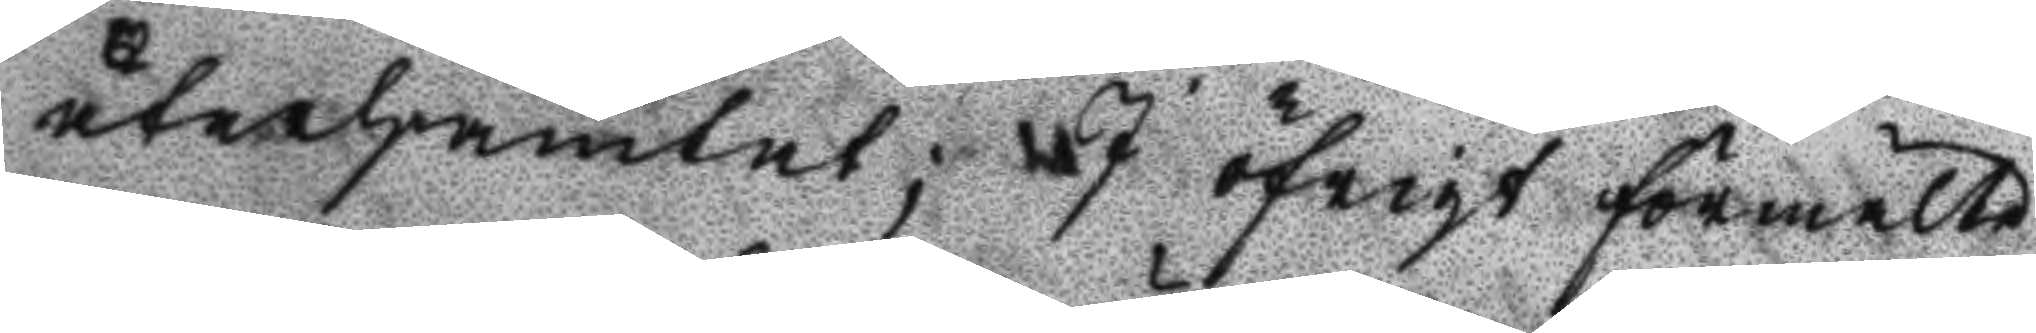återhämtat; J öfrigt förmälte
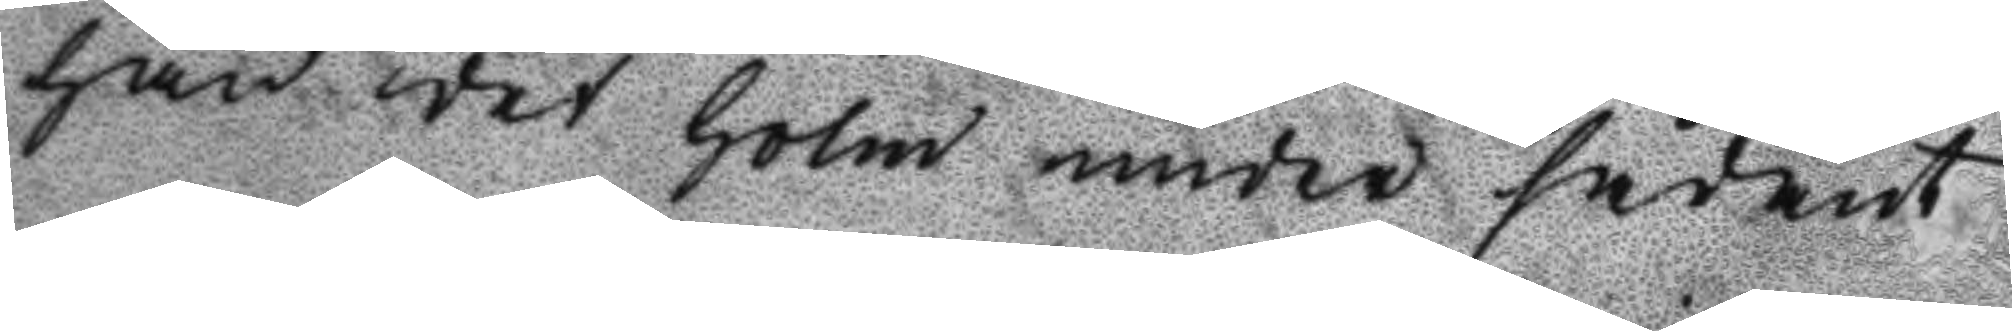han det Holm under sådant
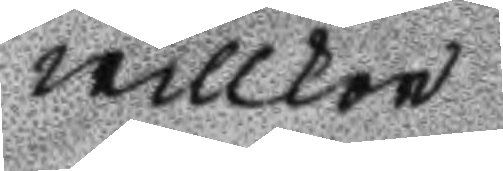willkor
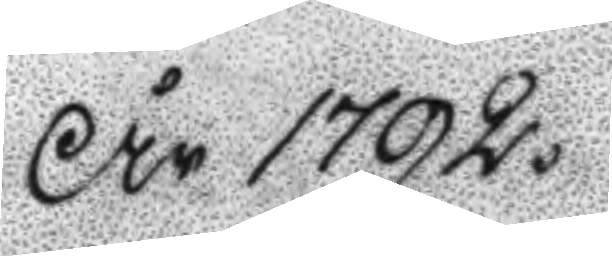År 1792.
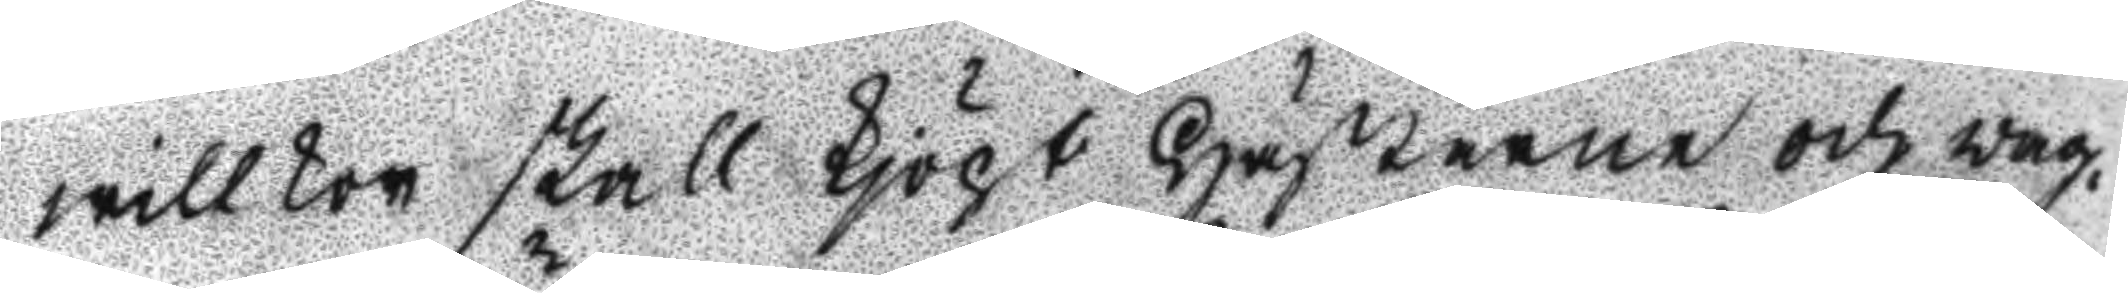willkor skall kjöpt Hästarne och wag¬
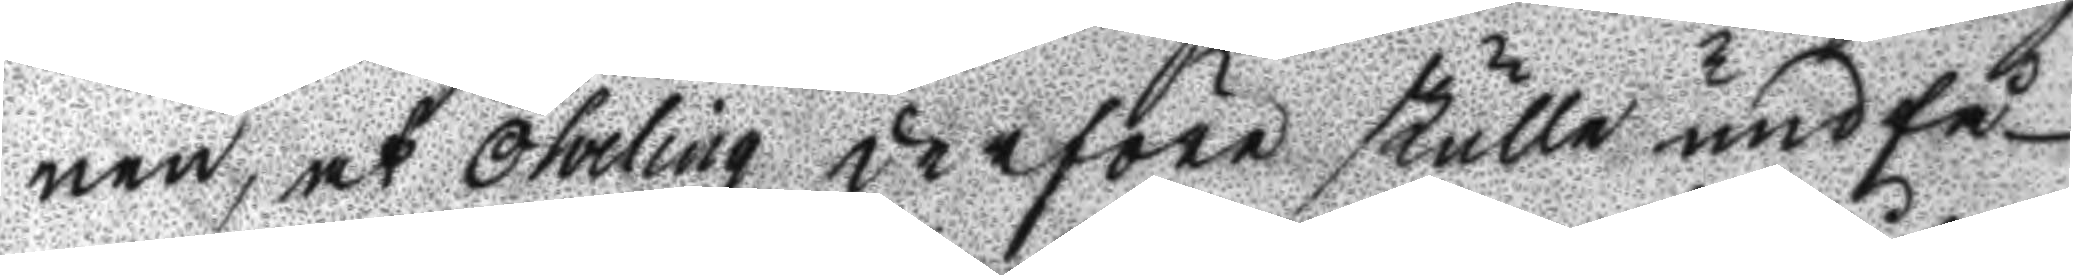nen, at Öhrling derföre skulle undfå
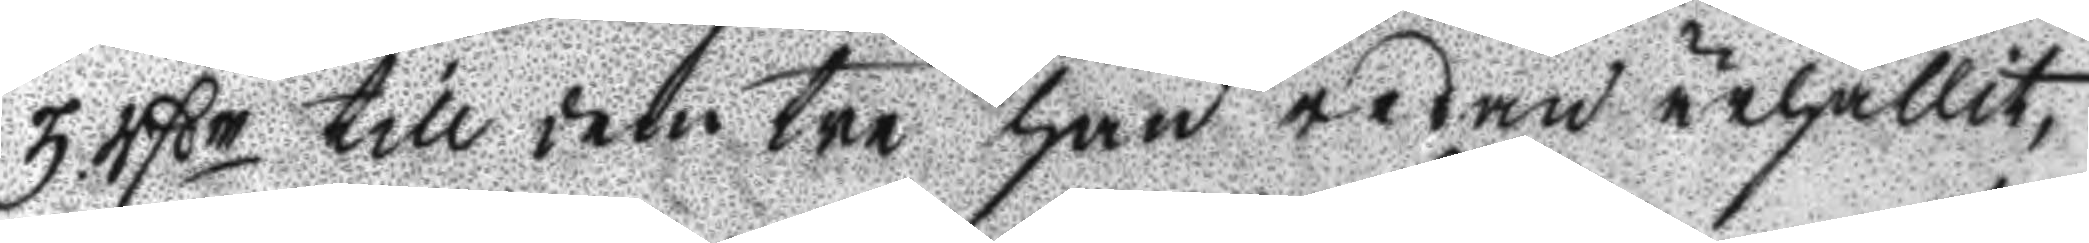3 rßr till denm tre han redan ärhållit,
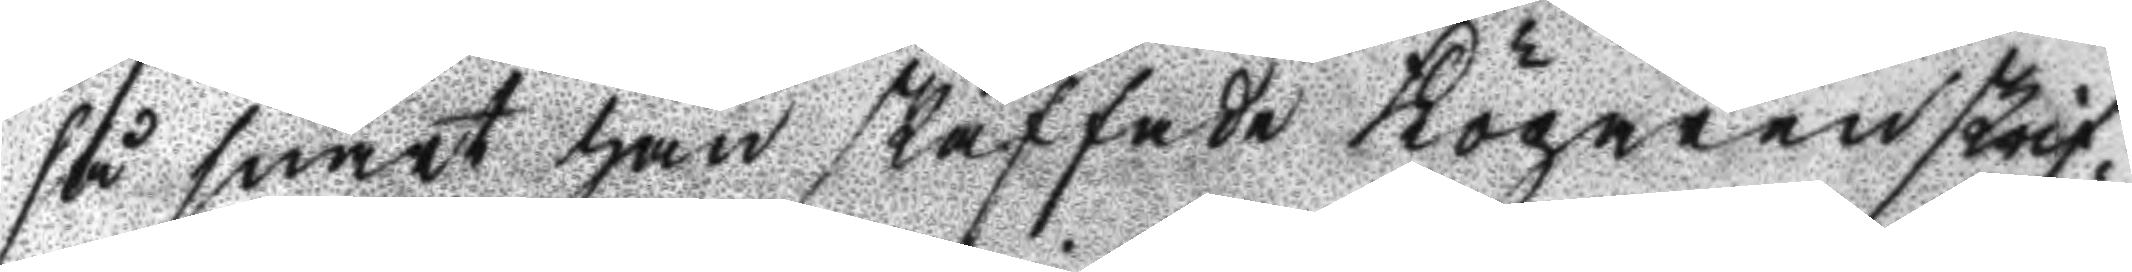så snart han skaffade Krögaren skrif¬
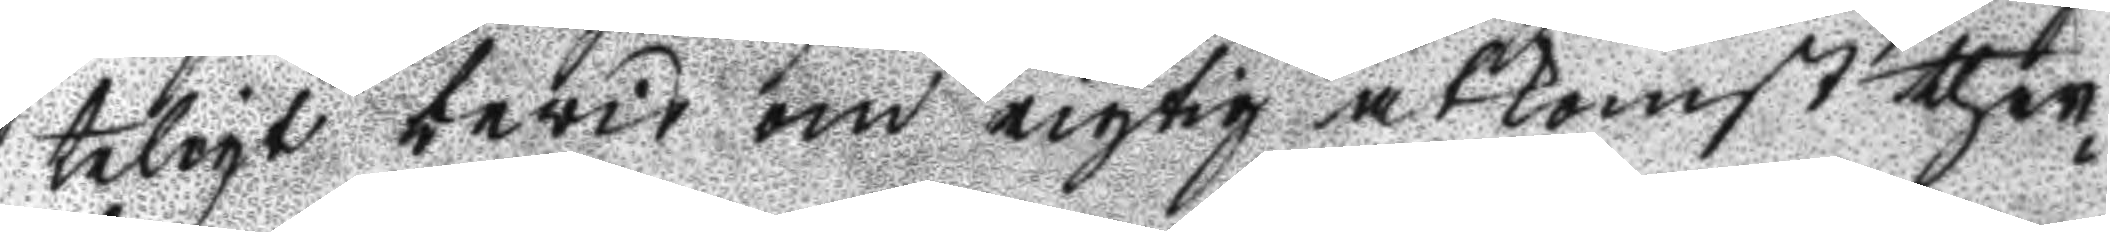teligt bevis om rigtig åtkomst ther¬
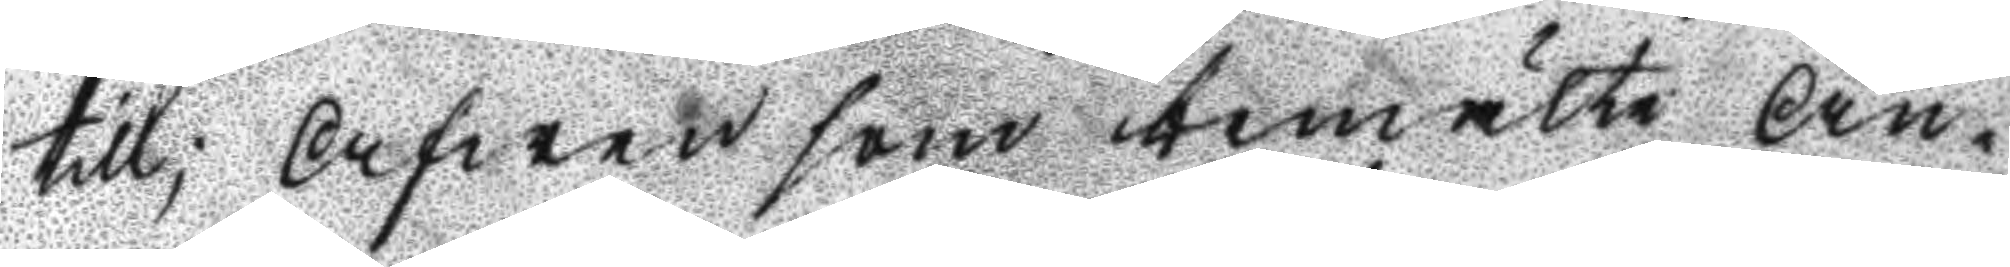till; Afwen som bemälte An¬
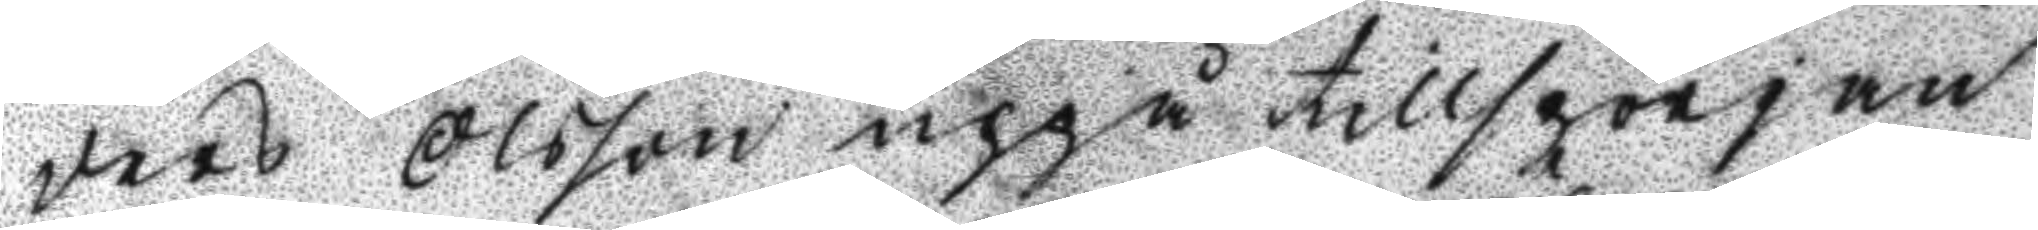ders Olsson uppå tillspörjan
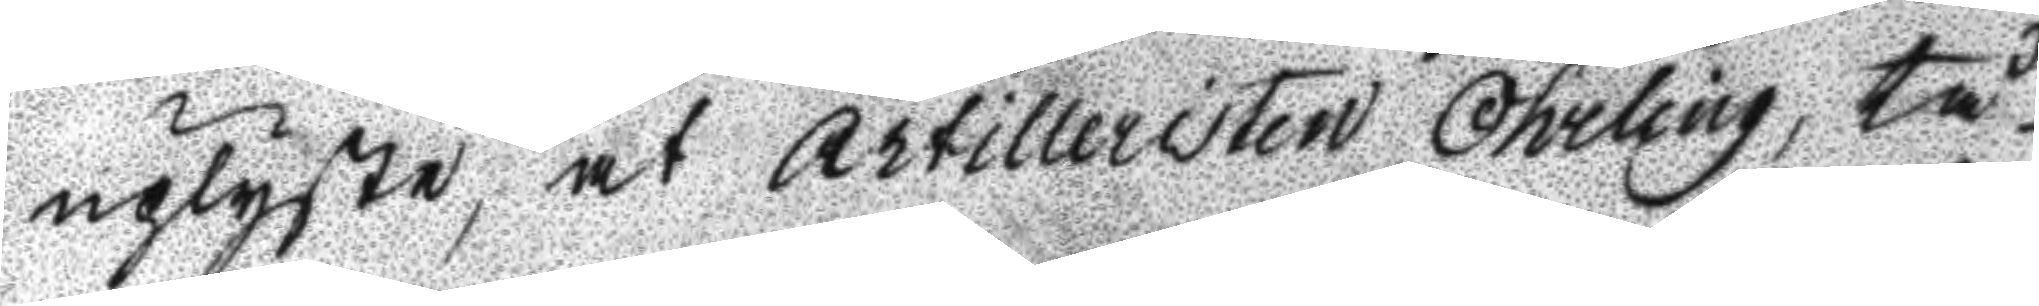uplyste, at Artilleristen Öhrling, tå
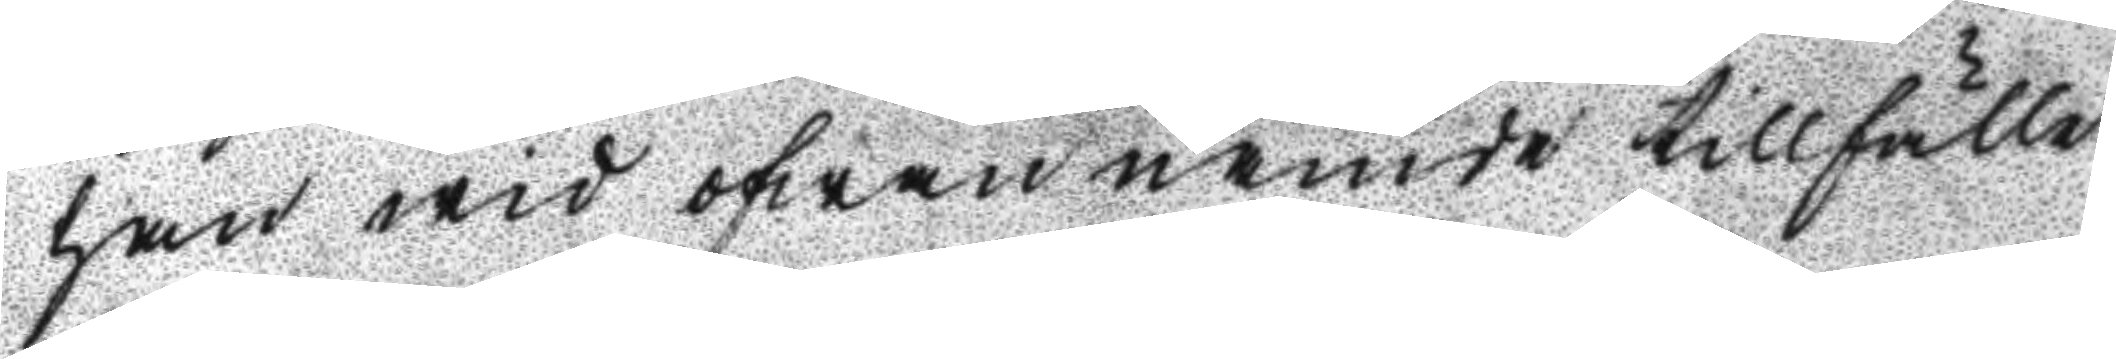han wid ofwannämde tillfälle
